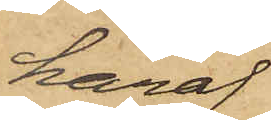häraf
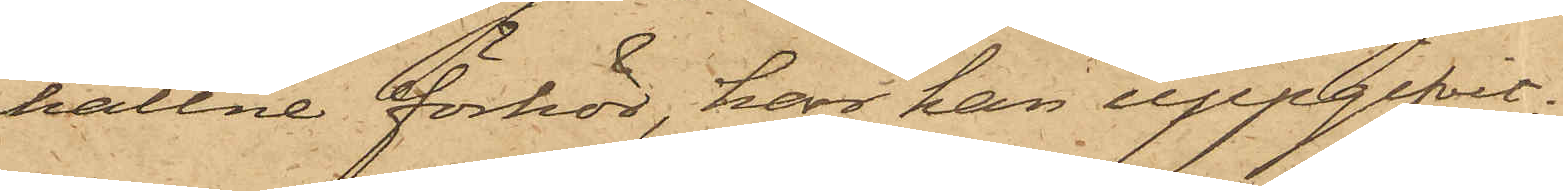hållne förhör, har han uppgifvit:
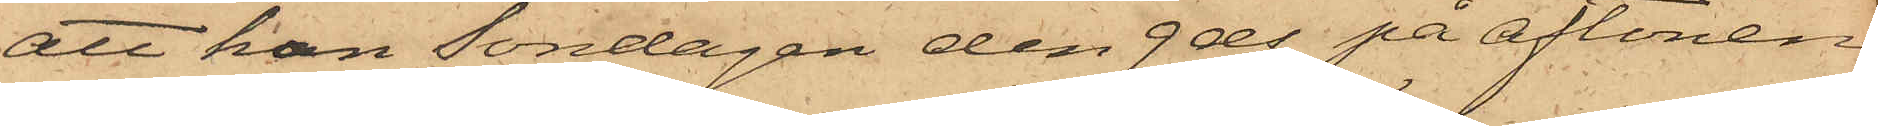att han Söndagen den 9 ds på aftonen
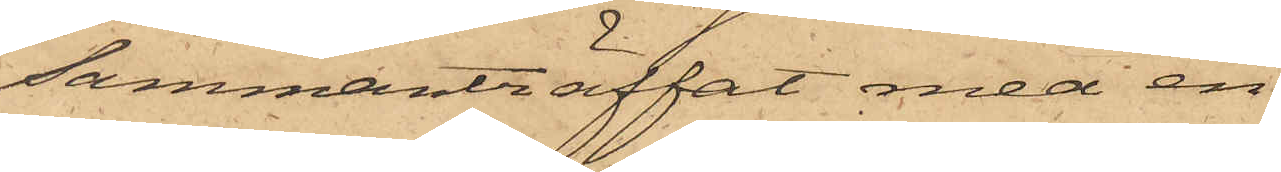sammanträffat med en
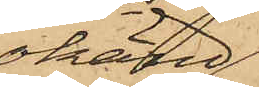okänd
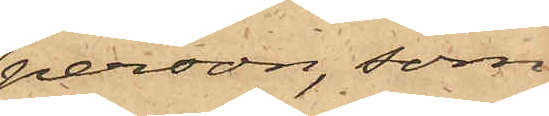person, som
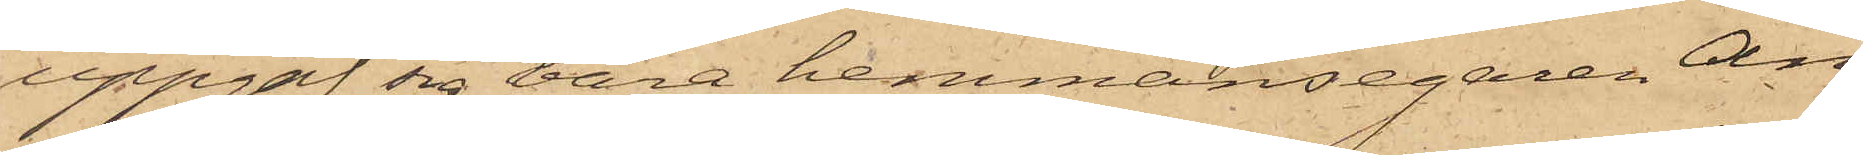uppgaf sig vara hemmansegaren An¬
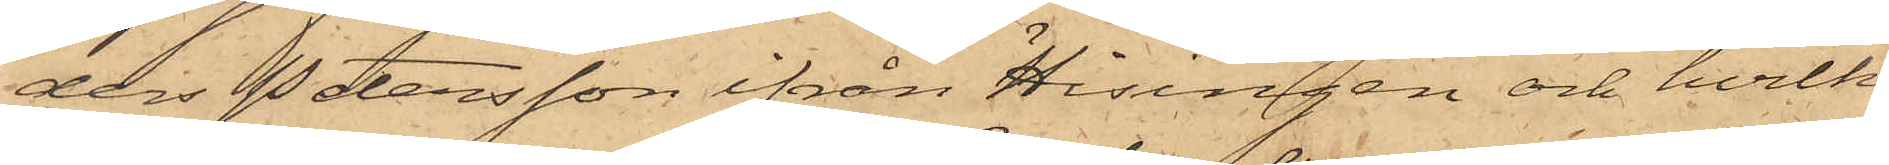ders Petersson ifrån Hisingen och hvilken
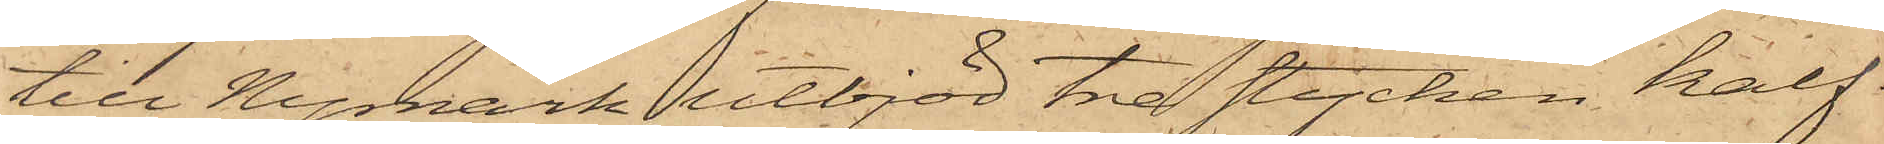till Nymark utbjöd tre stycken kalf¬
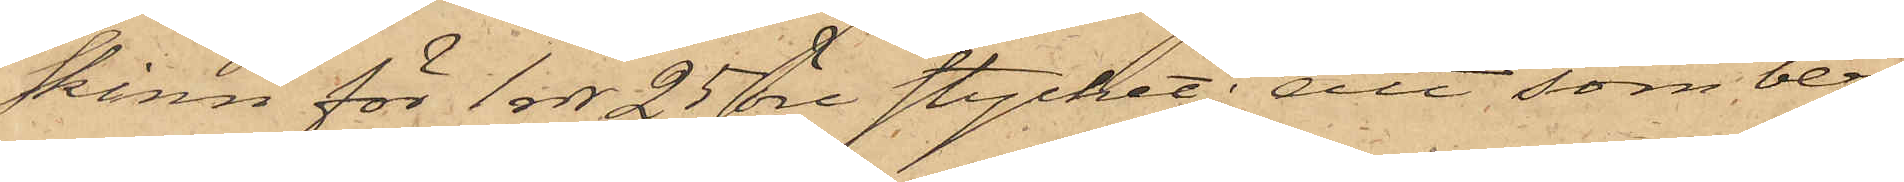skinn för 1 rdr 25 öre stycket; att som berör¬
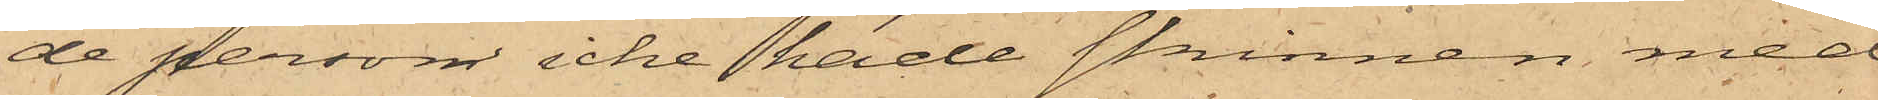de person icke hade skinnen med
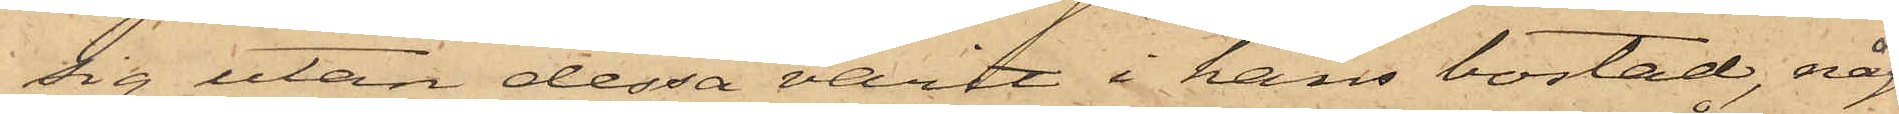sig utan dessa varit i hans bostad, någon
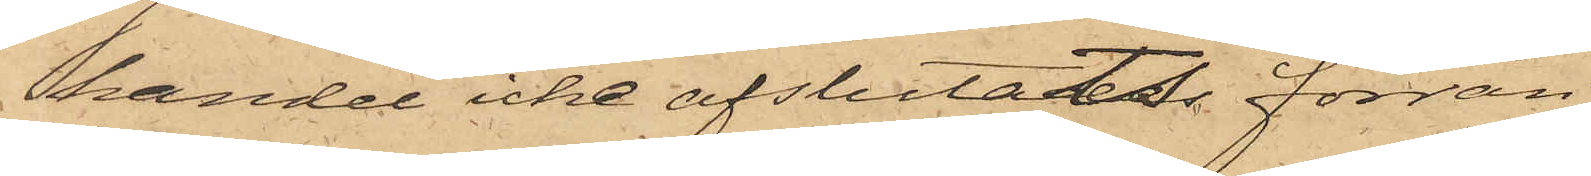handel icke afslutats förrän
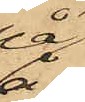på
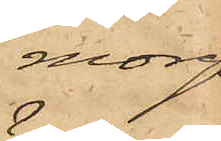morgo¬
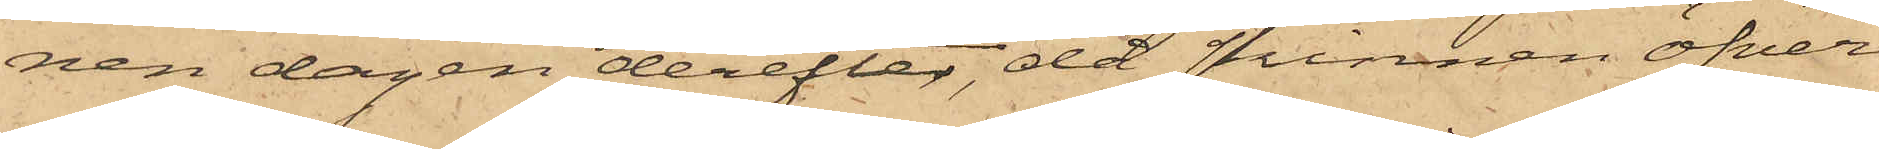nen dagen derefter, då skinnen öfver¬
